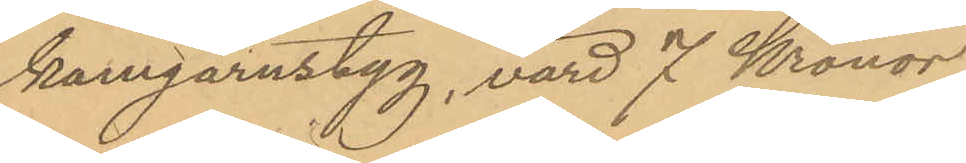kamgarnstyg, värd 7 Kronor,
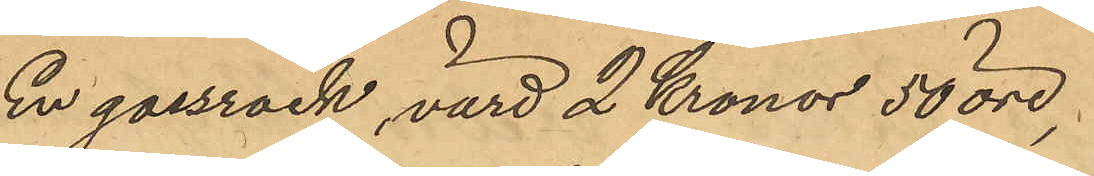En gossrock, värd 2 Kronor 50 öre;
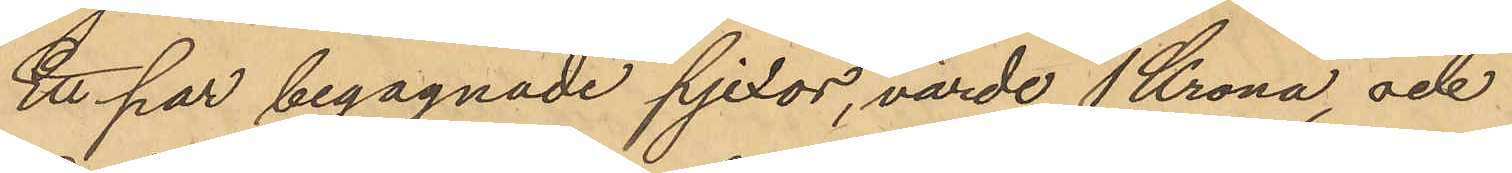Ett par begagnade pjexor, värde 1 Krona, och
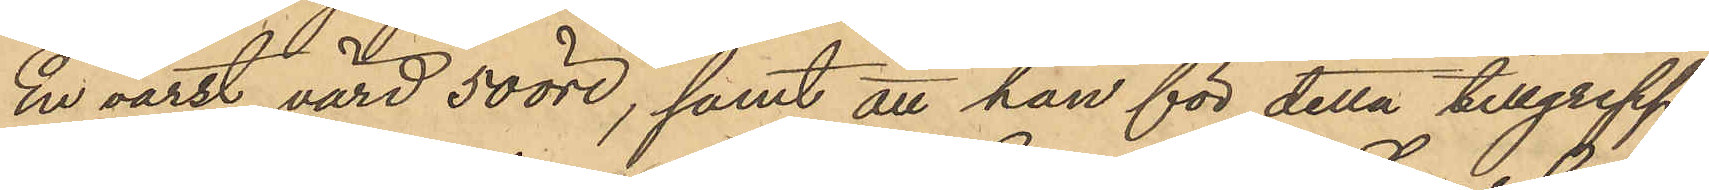En väst värd 50 öre; samt att han för detta tillgrepp
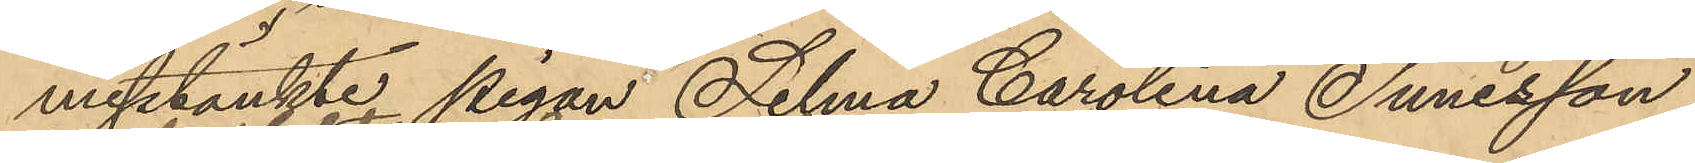misstänkte pigan Selma Carolina Sunesson
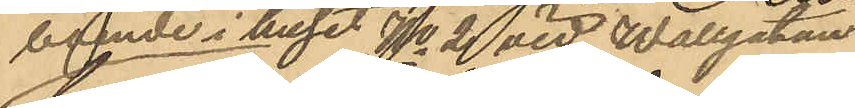boende i huset No 2 vid Wallgatan
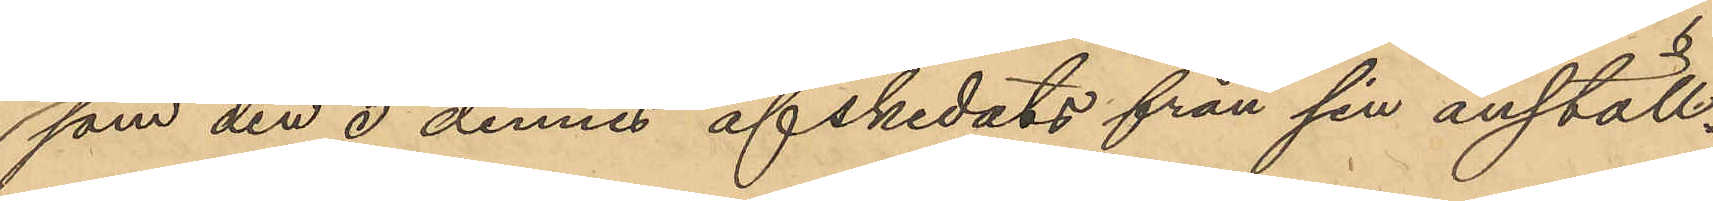som den 5 dennes afskedats från sin anställ¬
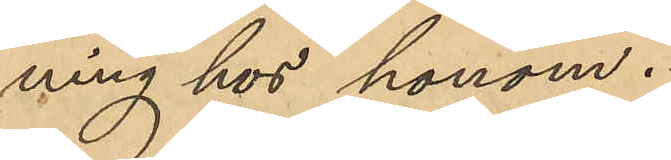ning hos honom.
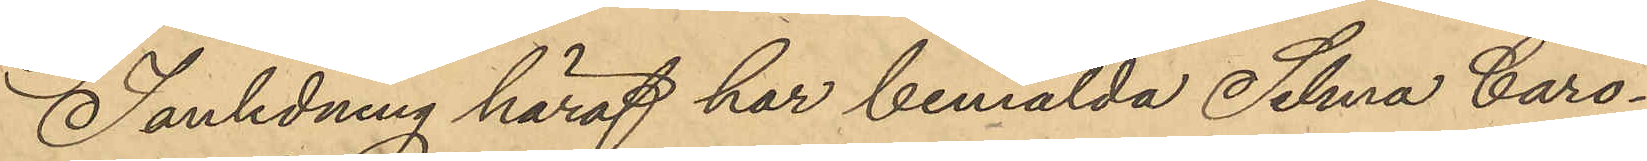I anledning häraf har bemälda Selma Caro¬
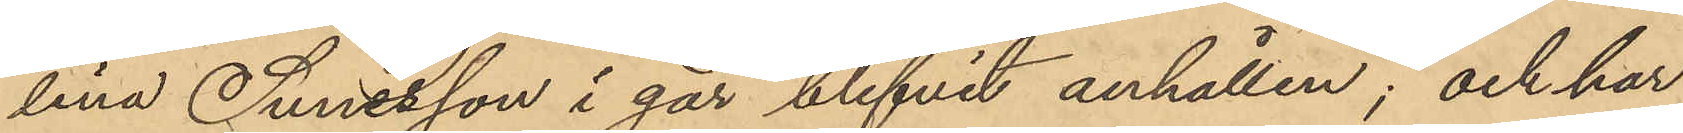lina Sunesson i går blifvit anhållen; och har
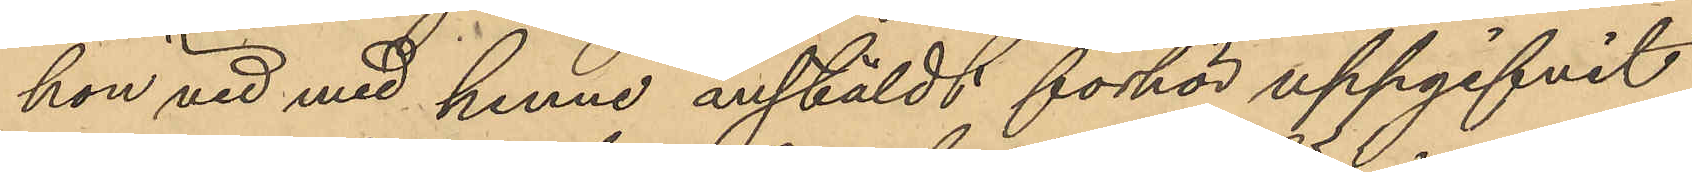hon vid med henne anstäldt förhör uppgifvit
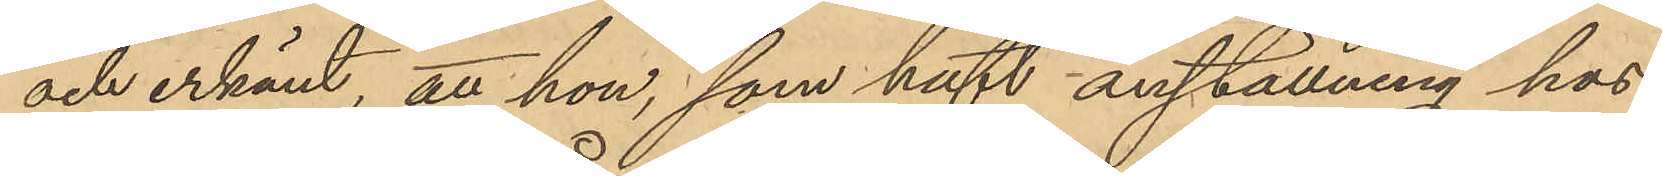och erkänt, att hon, som haft anställning hos
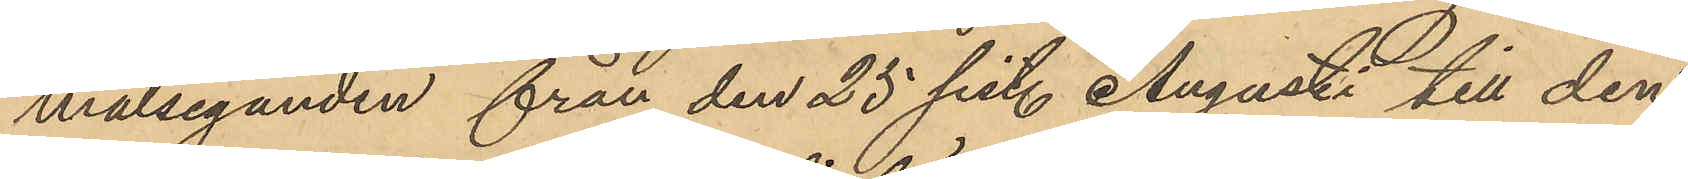målseganden från den 25 sist. Augusti till den
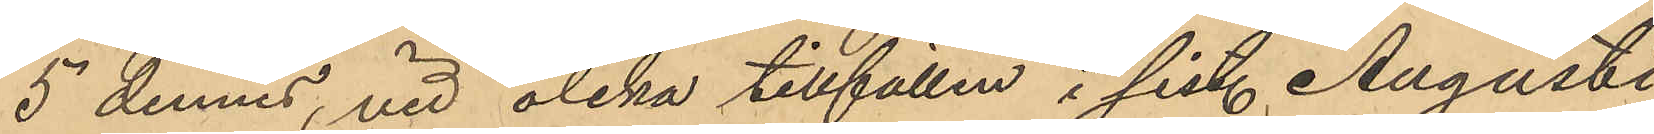5 dennes, vid olika tillfällen i sist. Augusti
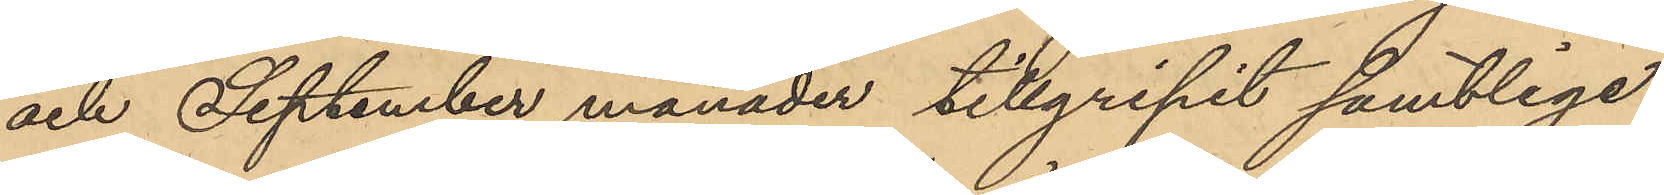och September månader tillgripit samtlige
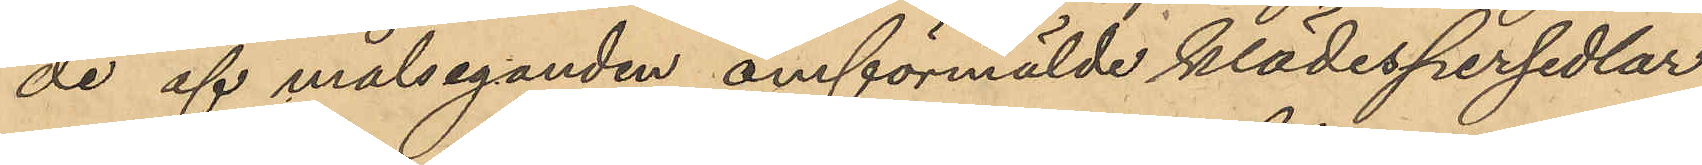de af målseganden omförmälde klädespersedlar
